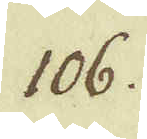106.
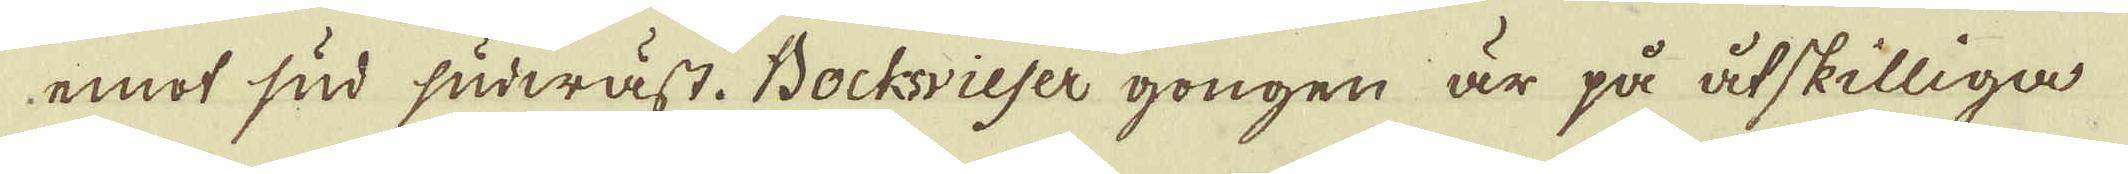emot sud sudwäst. Bochvieser gongen är på åtskilliga
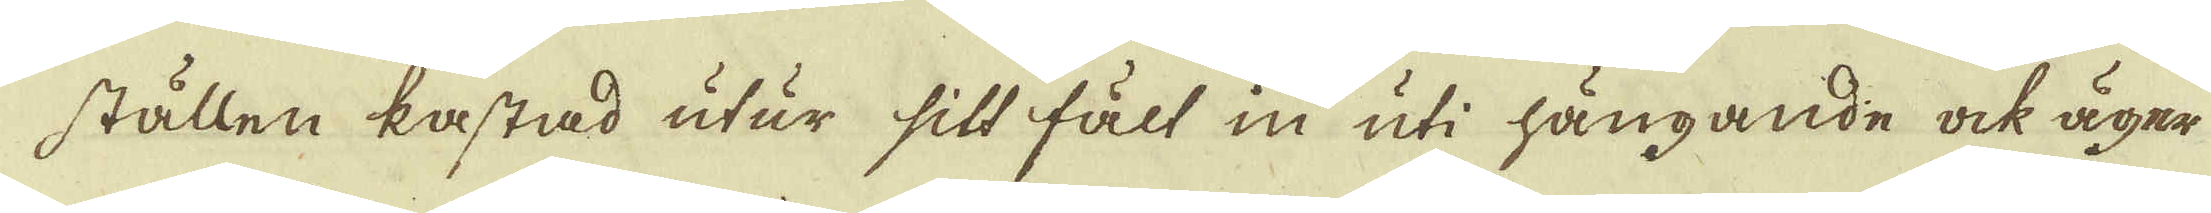ställen kastad utur sitt fält in uti hängande ock äger
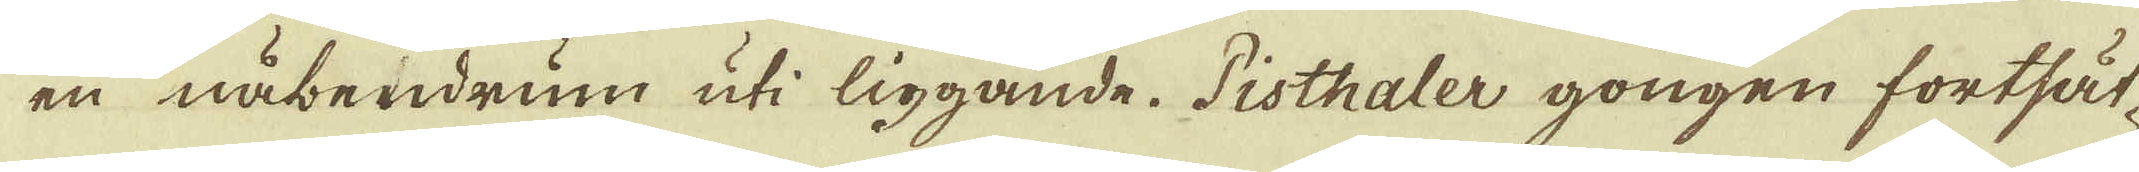en nåbendrum uti liggande. Pisthaler gongen fortsät-
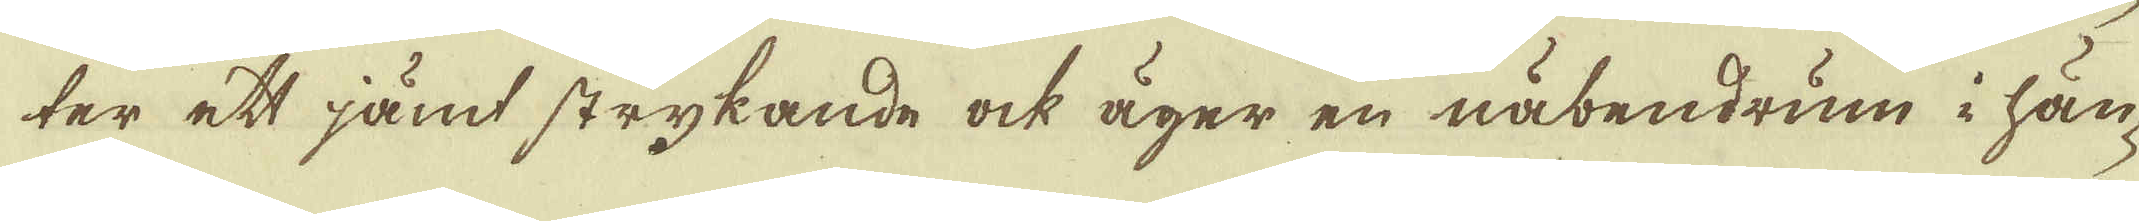ter ett jämt strykande ock äger en näbendrum i hän-
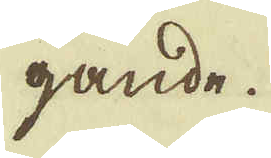gande.
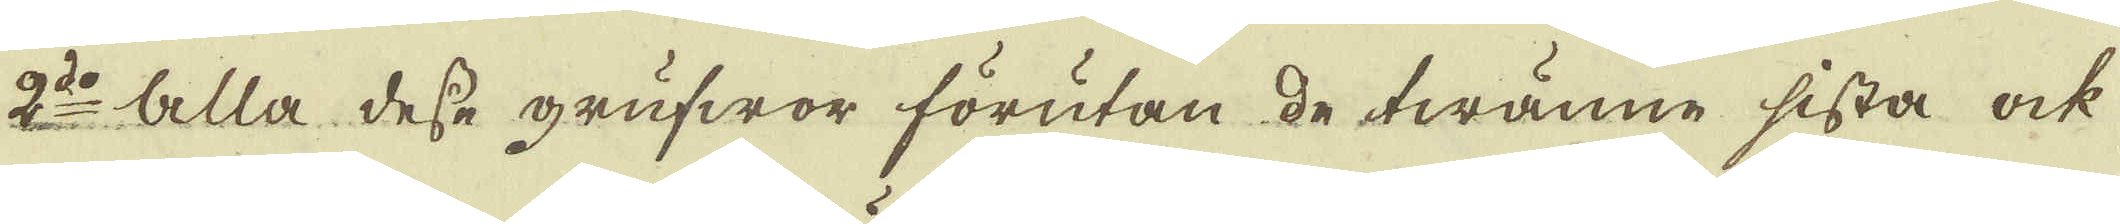2:do Alla desse grufwor förutan de twänne sista ock
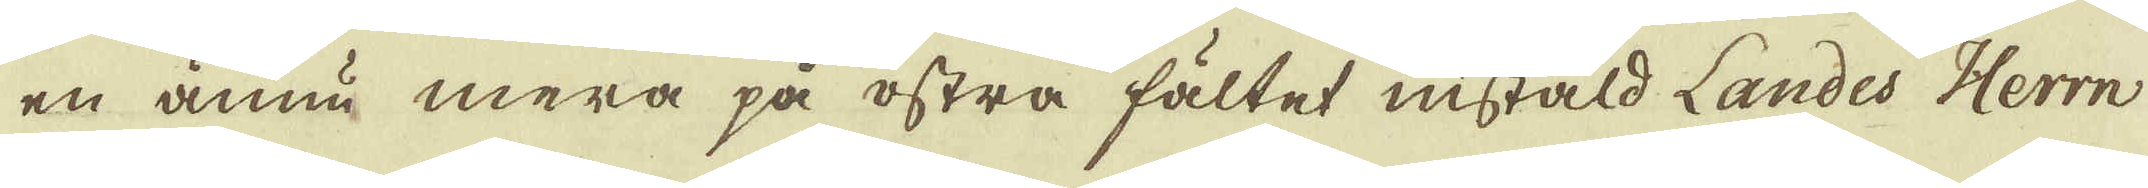en ännu mera på östra fältet instäld Landes Herrn
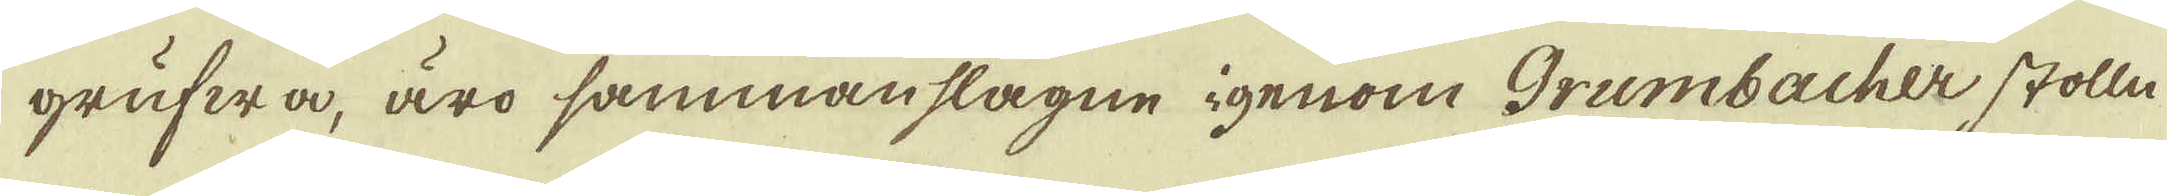grufwa, äro sammanslagne igenom Grumbacher stolln
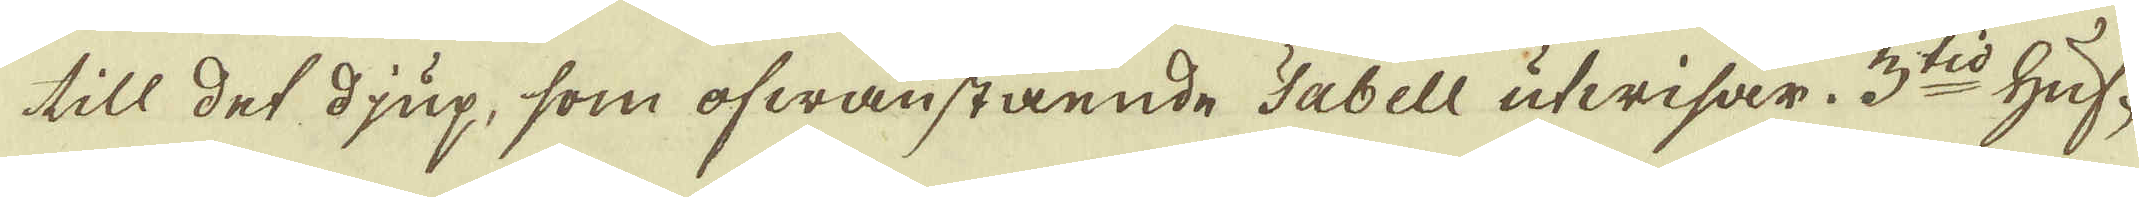till det djup, som ofwanstående Tabell utwisar. 3:tio Huf-
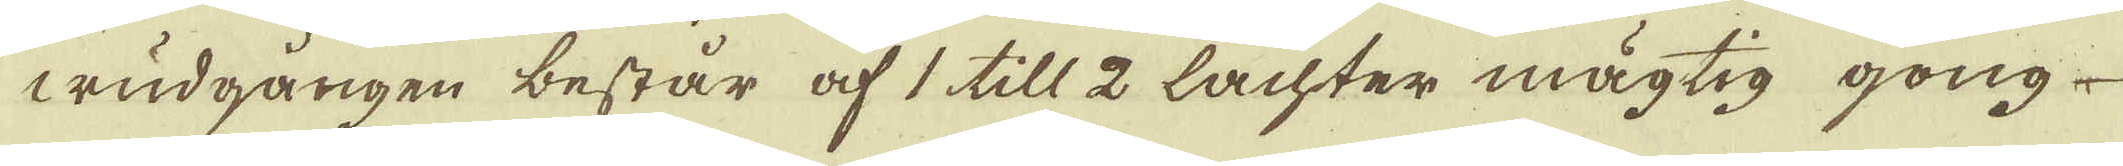wudgången består af 1 till 2 Lachter mägtig gong
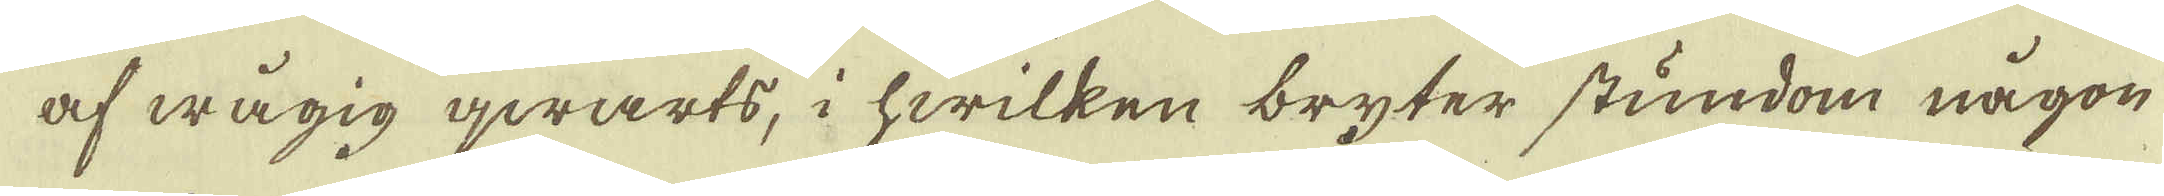af wågig qwarts, i hwilken bryter stundom någon
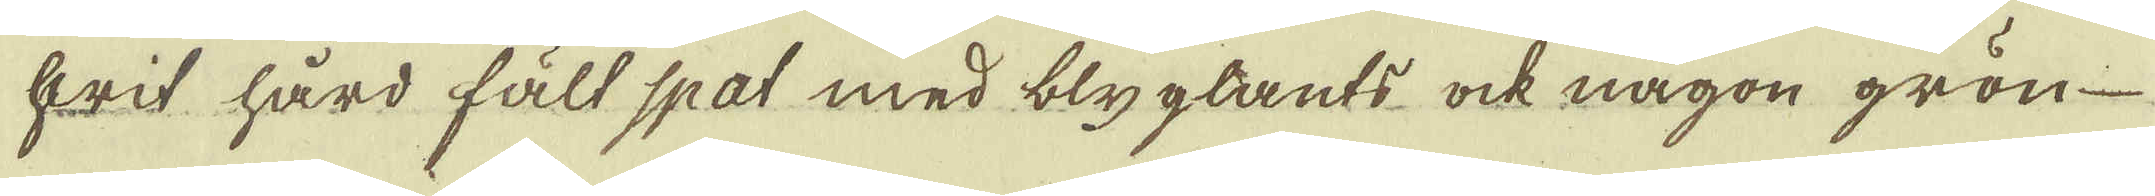hwit hård fält spat med blyglants ock någon grön
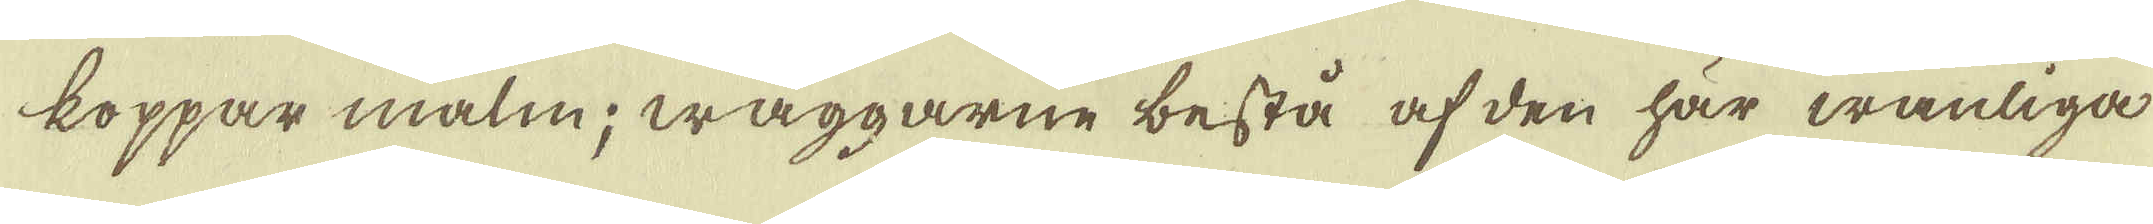koppar malm; wäggarne bestå af den här wanliga
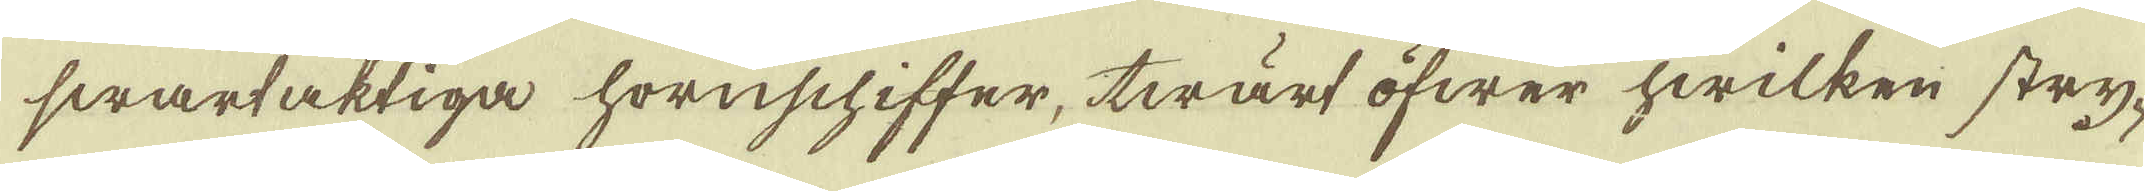swartaktiga hornschiffer, twärt öfwer hwilken stry-
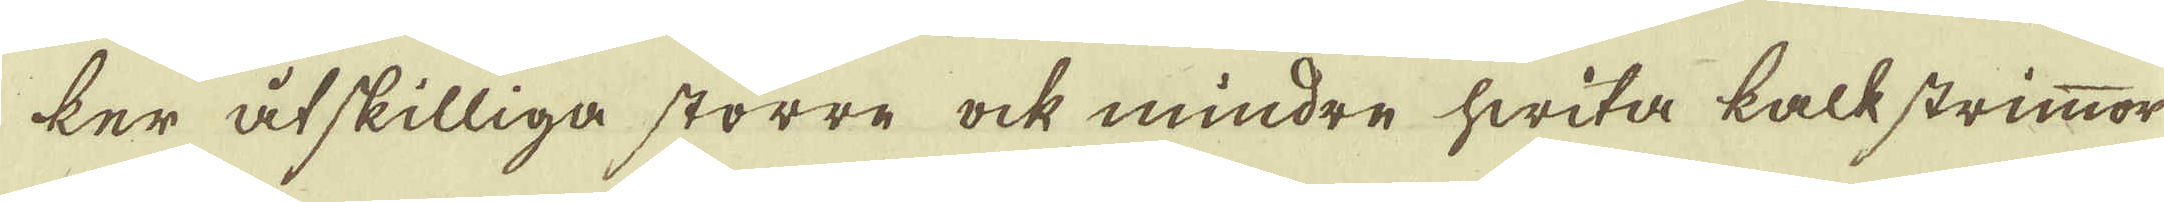ker åtskilliga större ock mindre hwita kalkstrimmor
